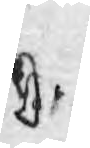D
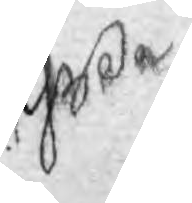Yße
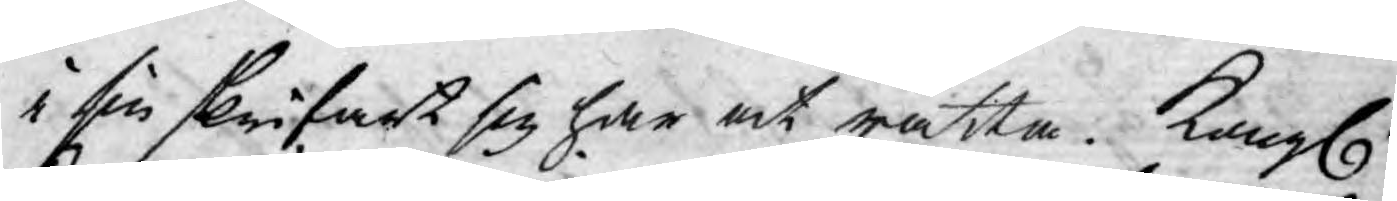i sin skrifart sig har at rätta. Kongl.
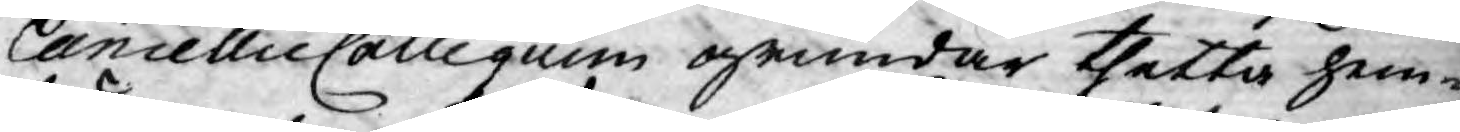Cancellie Collegium grundar thetta hem¬
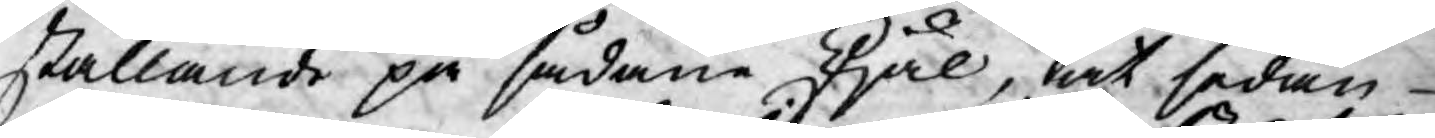ställande på sådane skjäl, at sedan
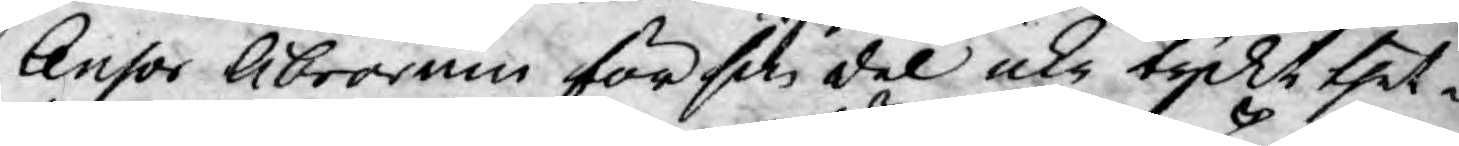Censor Librorum för sin del icke tyckt thet¬
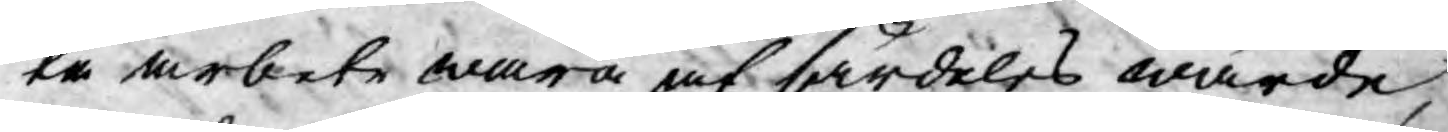ta arbete wara af särdeles wärde,
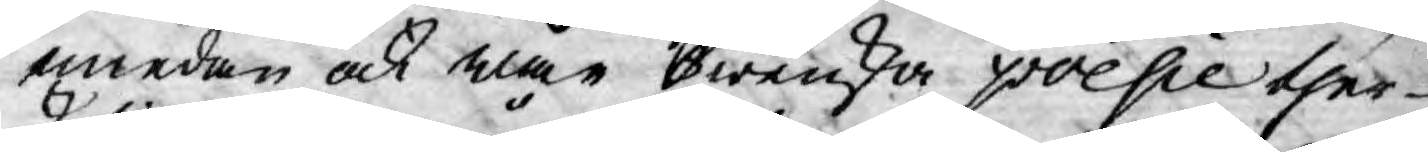emedan och när Swenska poesie ther-
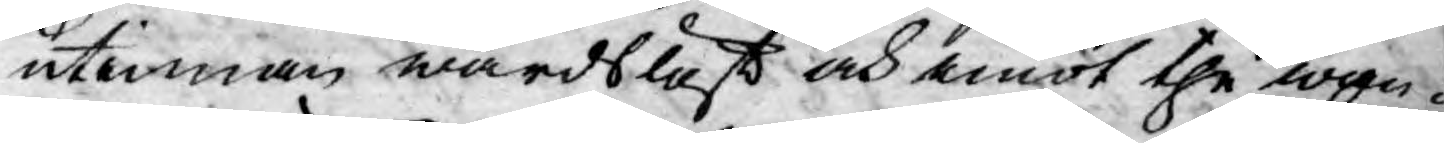utinnan wårdslöst och emot the wan¬
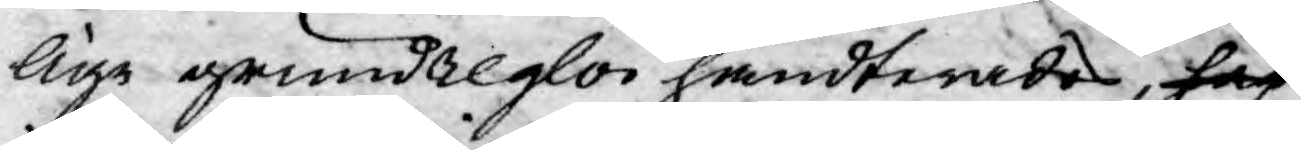lige grundreglor handterades, han
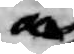och
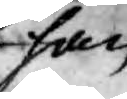han
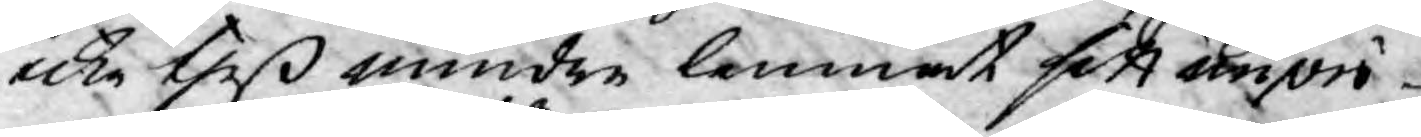icke theß mindre lemnat sitt imprö¬
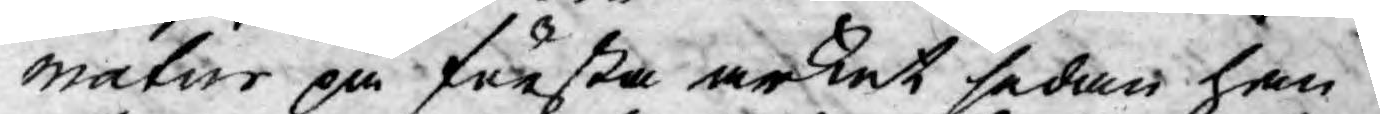matur på första arket sedan han
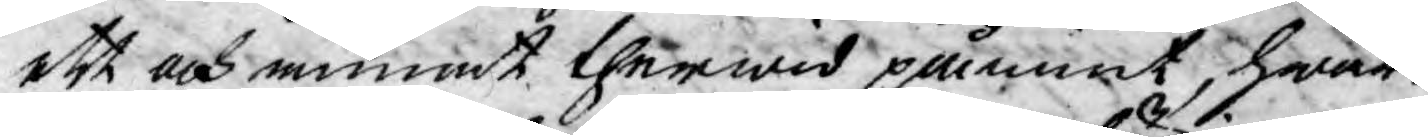ett och annat therwid påmint, hwar¬
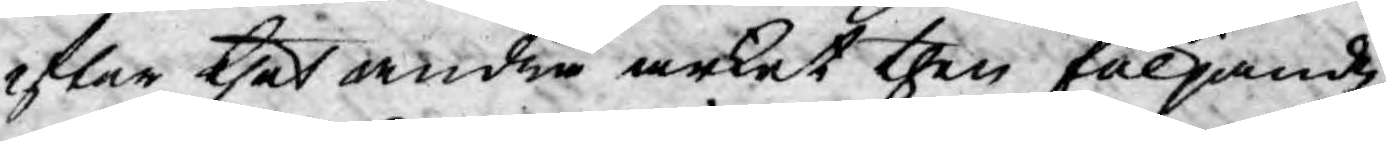efter thet andra arket then följande
